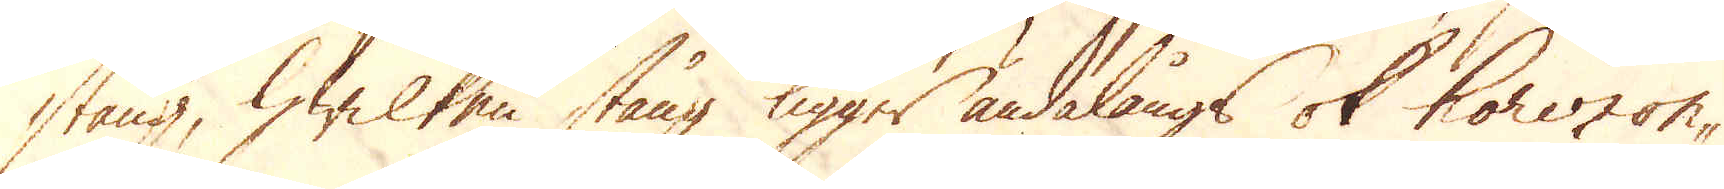stång, hwilken stång ligger ändalångs ok horizon-
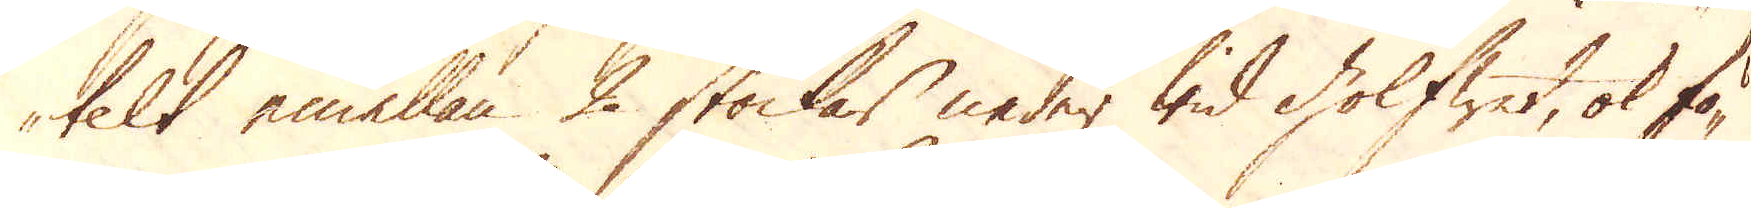telt emellan 2 stockar neder wid golfwet, ok fö-
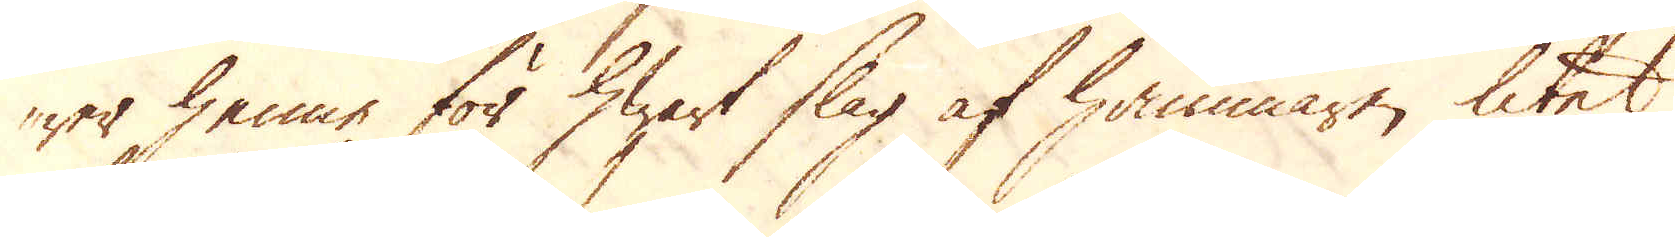rer henne för hwart slag af hammaren litet
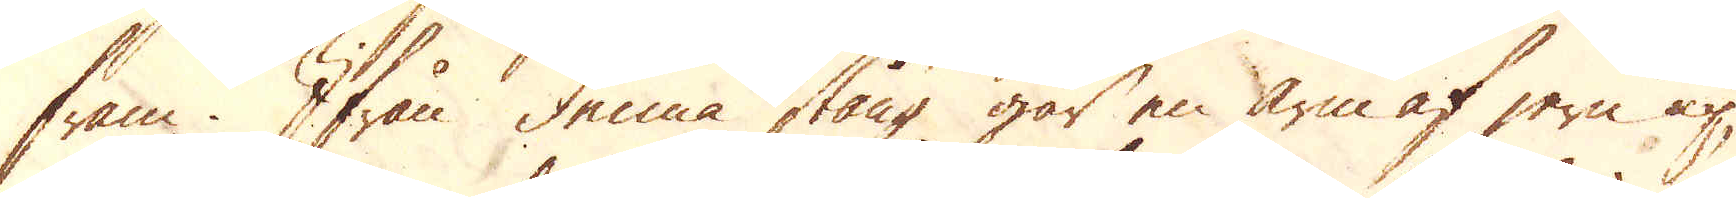fram. Ifrån denna stång går en arm af jern up
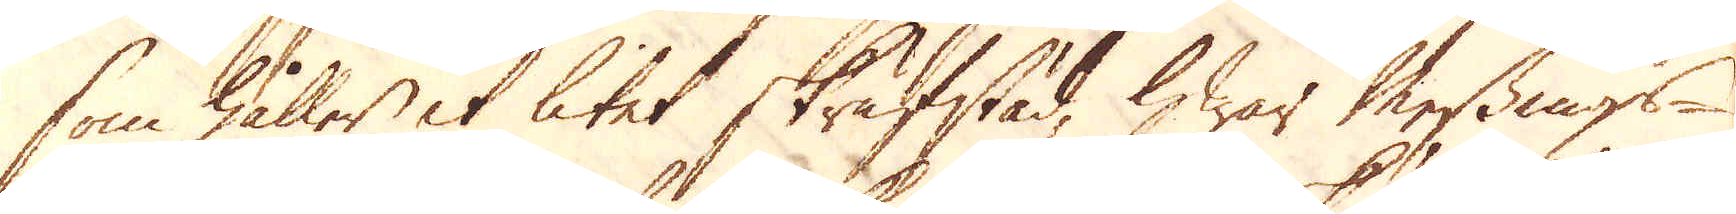som håller et litet skrufstäd, hwar Messings-
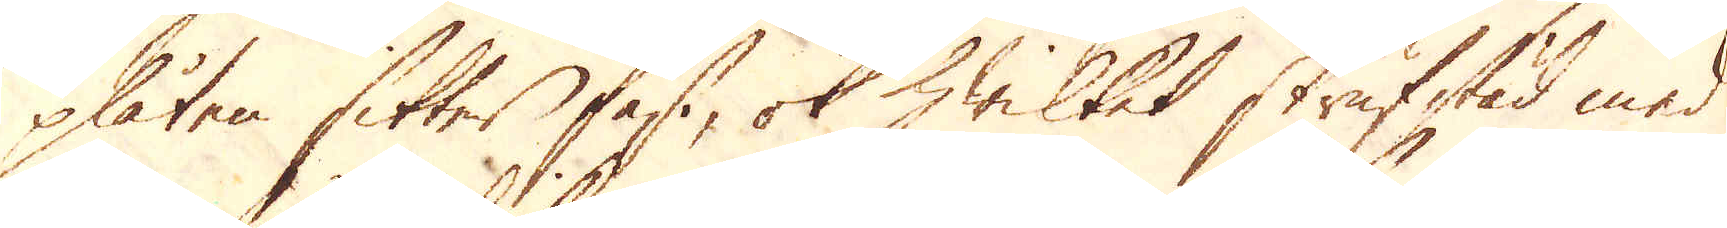plåten sitter fast, ok hwilket skrufstäd med
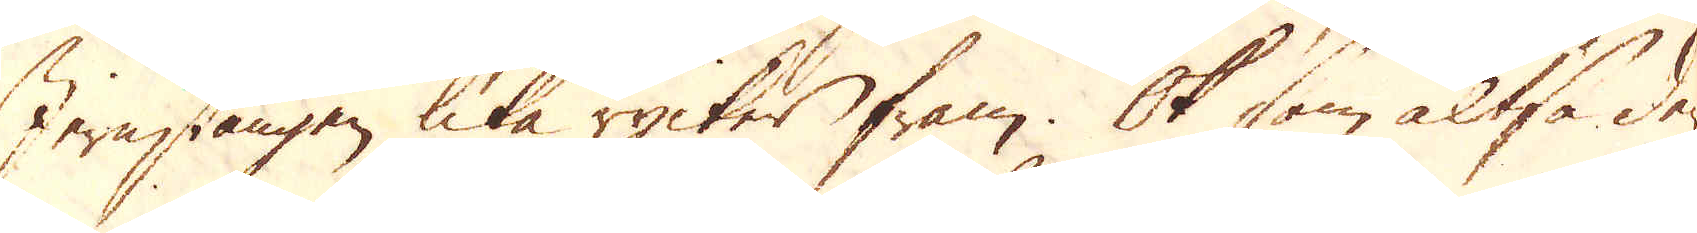Jernstången lika rycker fram. Ok som altså den-
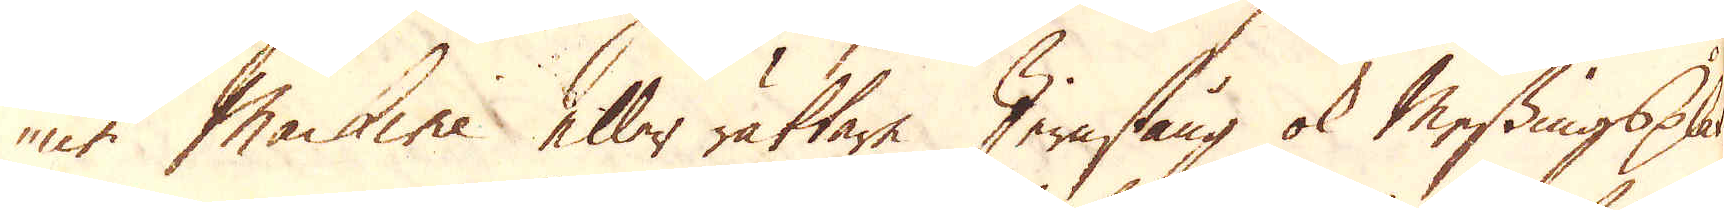ne Machine eller rättare Jernstång ok Messingsplåt
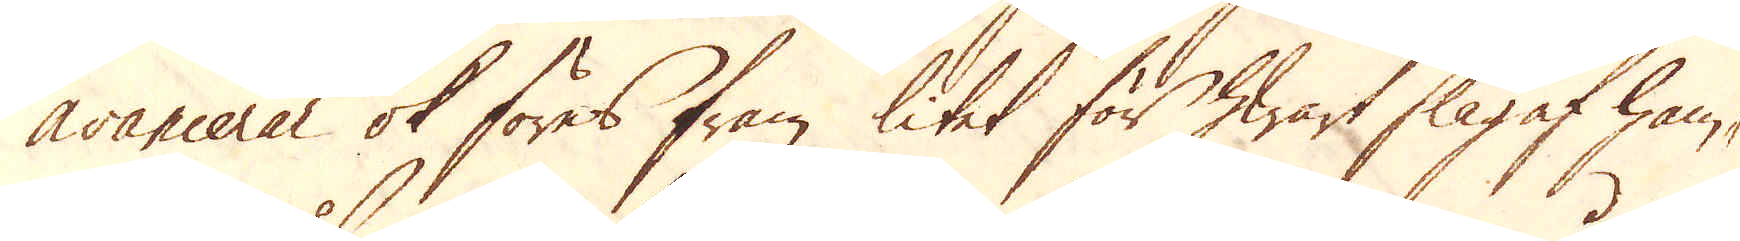avancerar ok föres fram litet för hwart slag af ham-
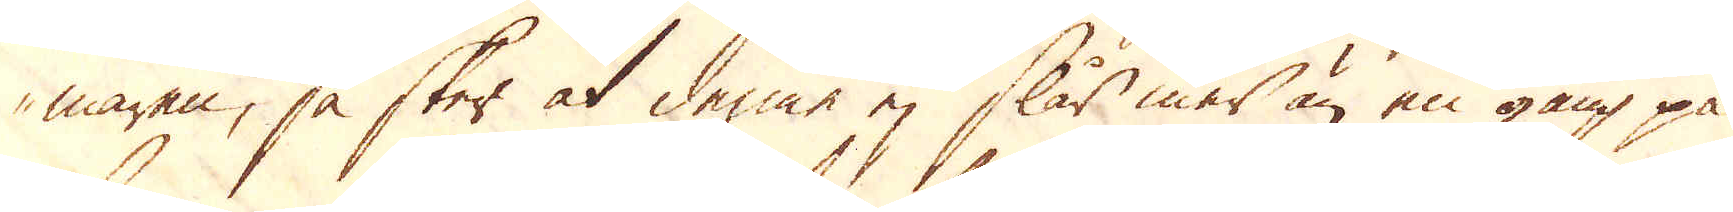maren, så sker at denne ej slår mer än en gång på
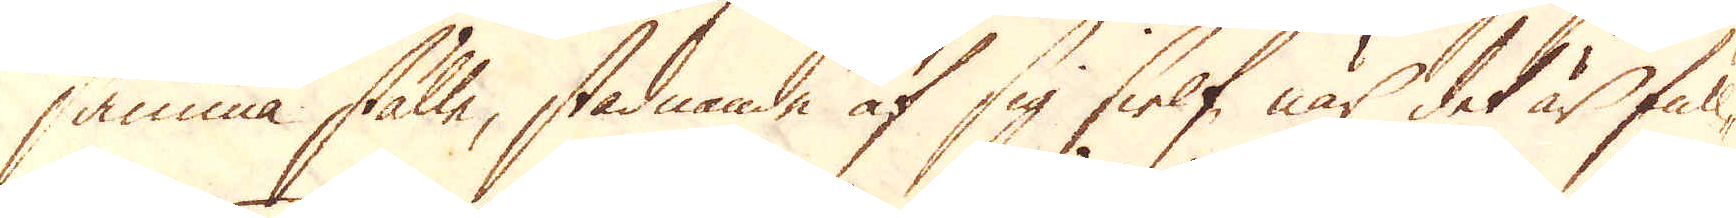samma ställe, stadnande af sig sielf, när det är full-
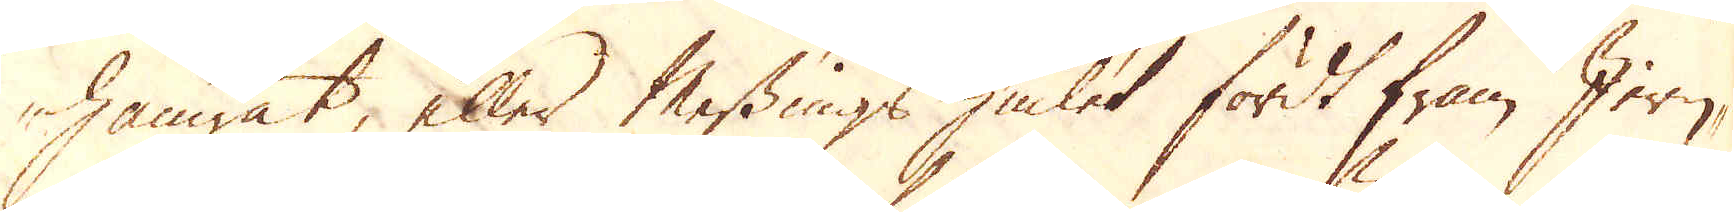hamrat, eller Messings hiulet fördt fram Jern-
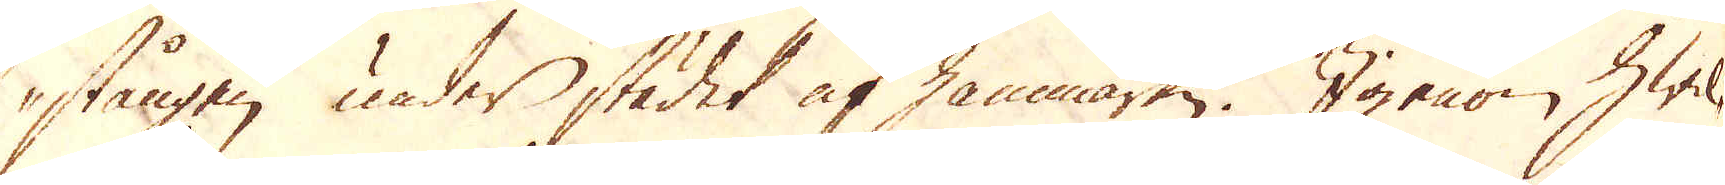stången under städet af hammaren. Igenom hwil-
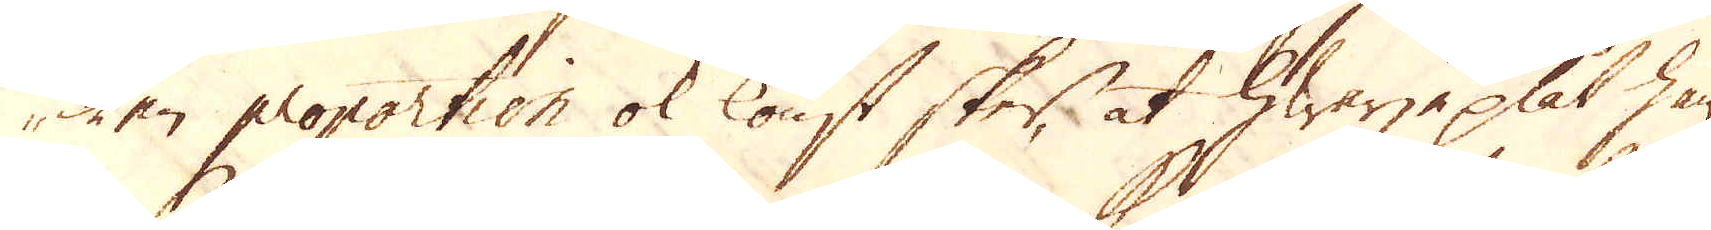ken proportion ok konst sker, at hwarje plåt ham-
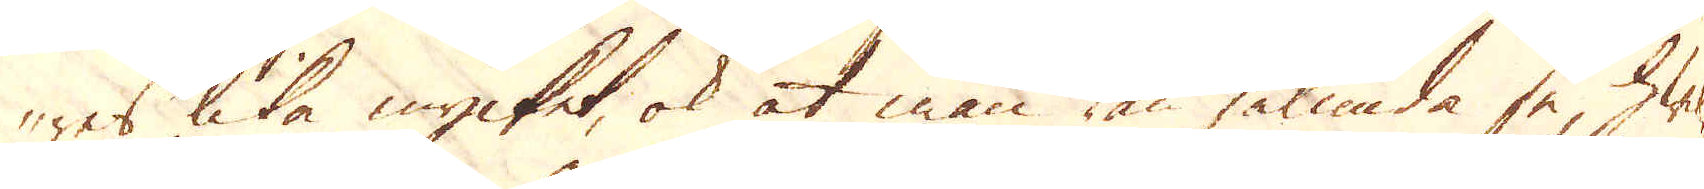res lika mycket, ok at man kan sålunda se, hwil-
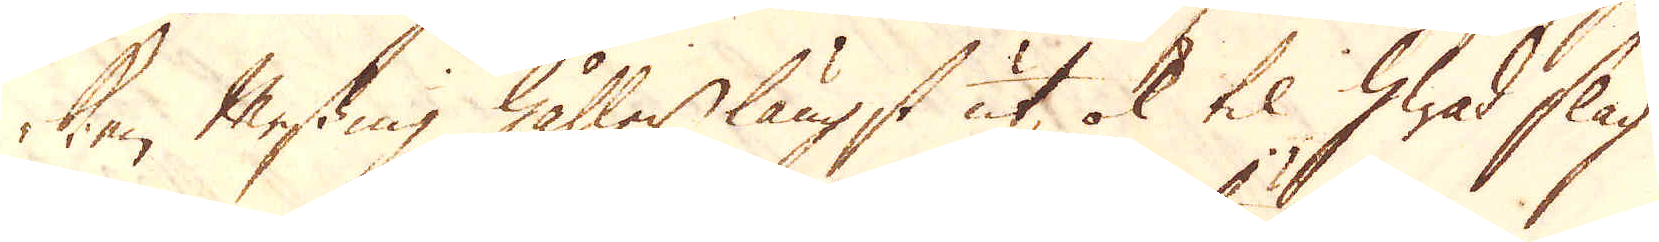ken Messing håller längst ut, ok til hwad slag
